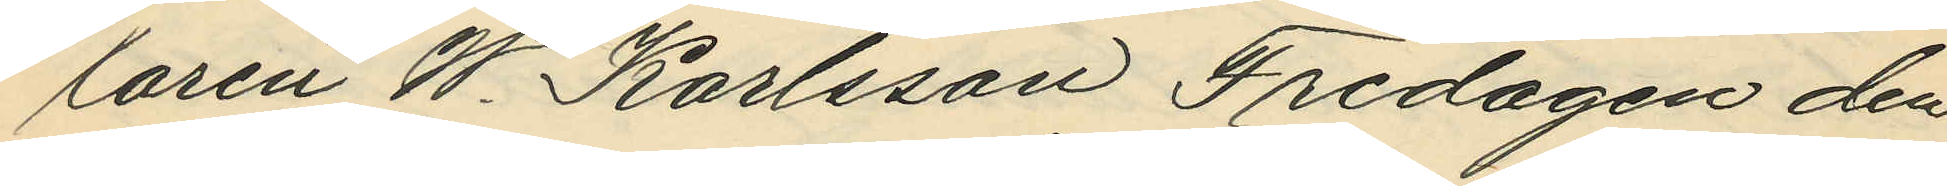laren W. Karlsson Fredagen den
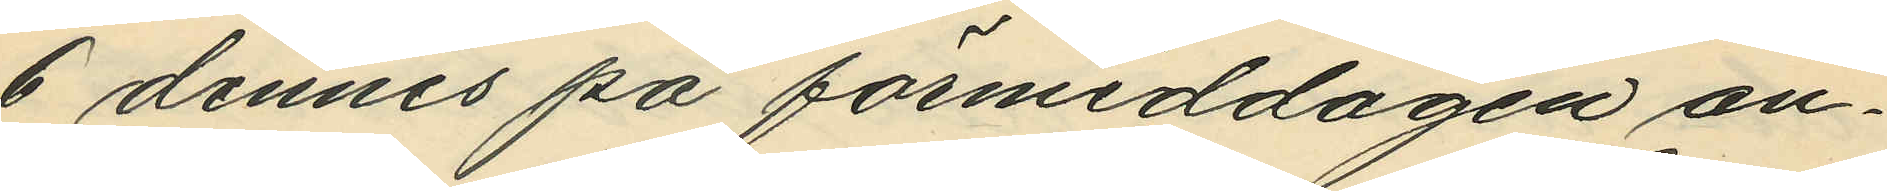6 dennes på förmiddagen an¬
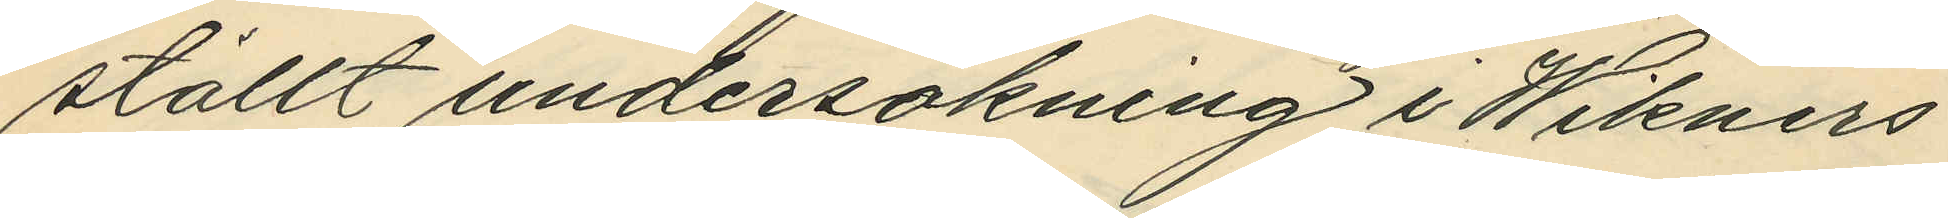ställt undersökning i Wikners
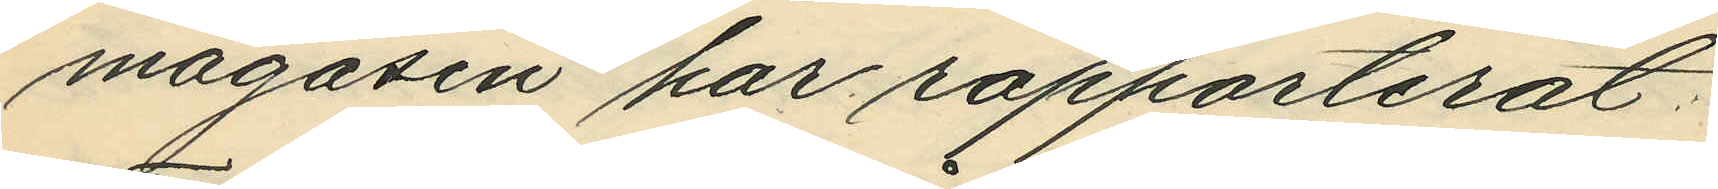magasin har rapporterat:
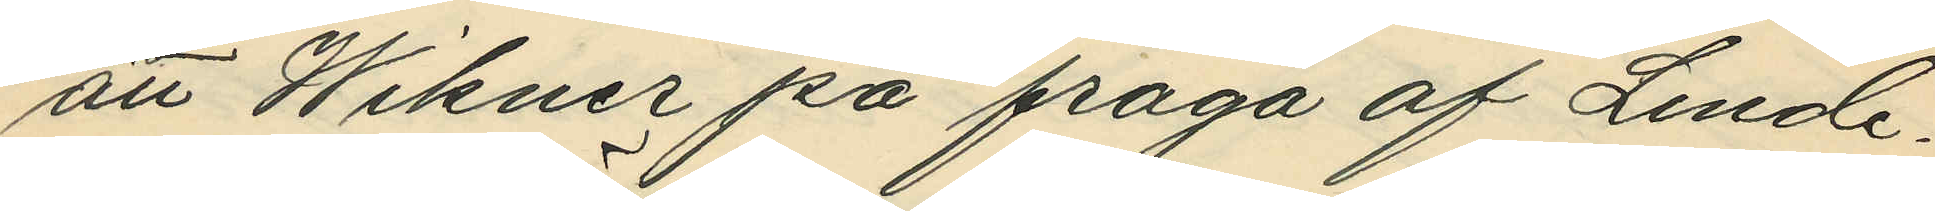att Wikner på fråga af Linde¬
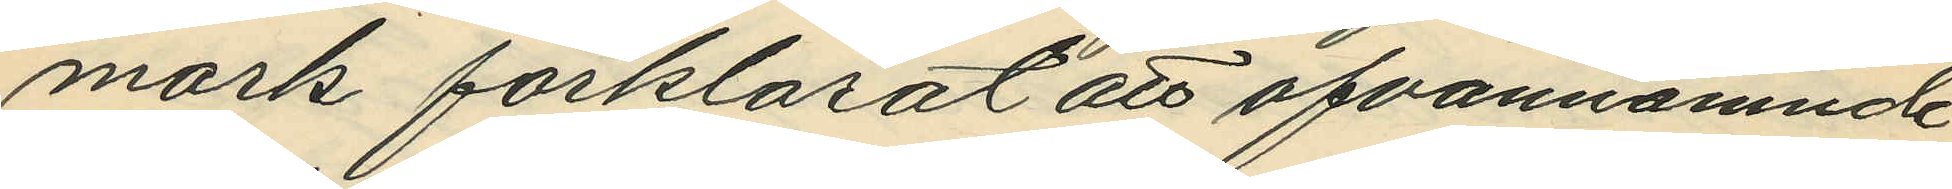mark förklarat att ofvannämnde
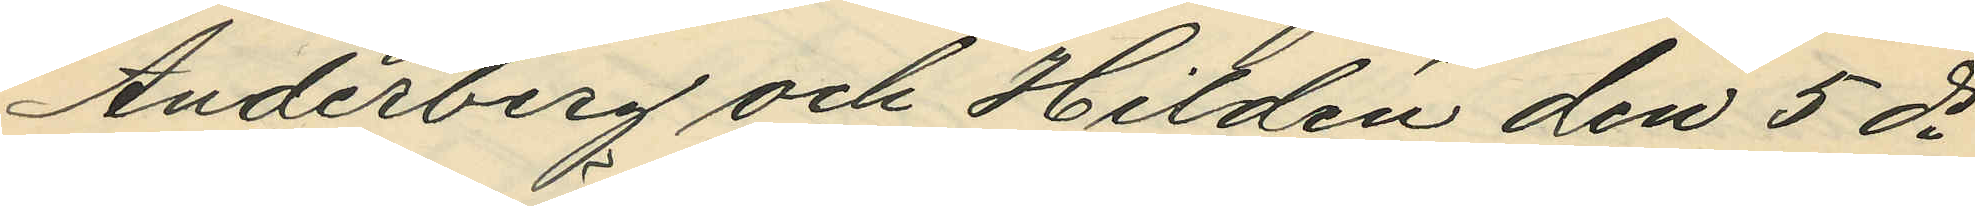Anderberg och Hildén den 5 ds
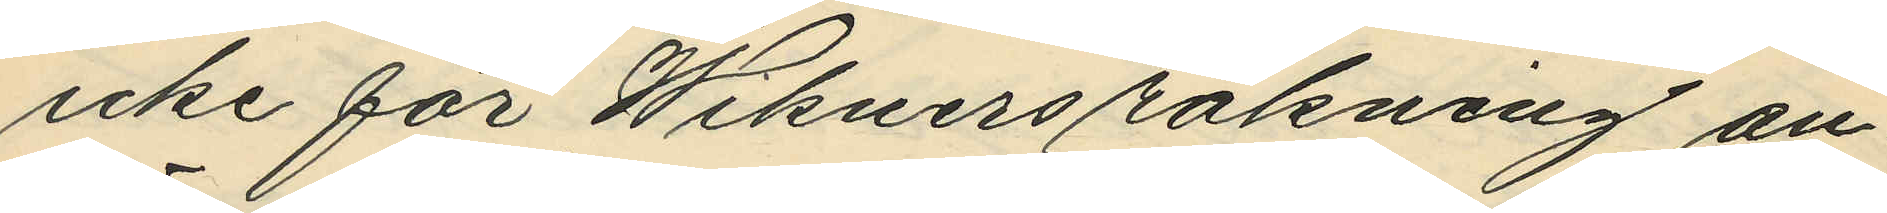icke för Wikners räkning an¬
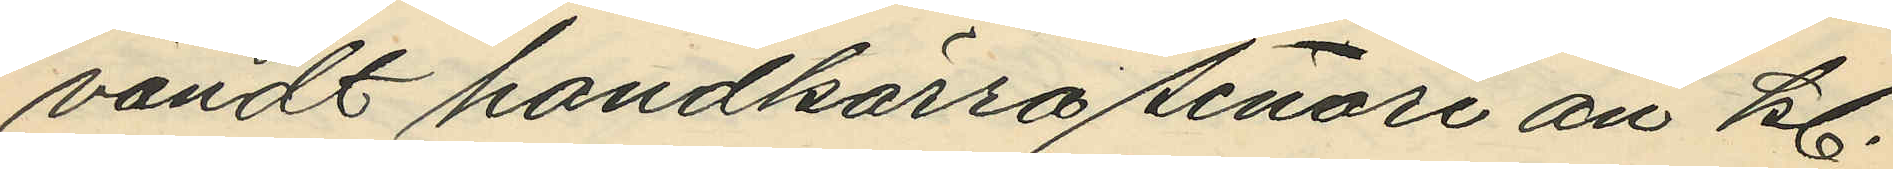vändt handkärra senare än kl.
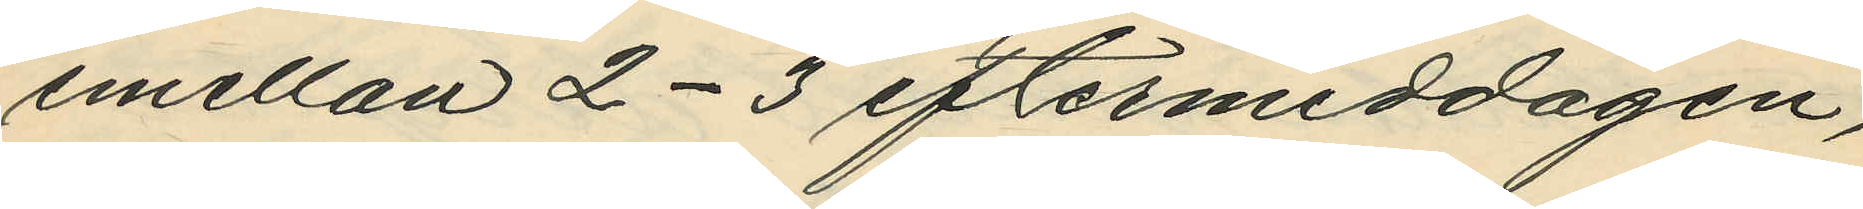emellan 2-3 eftermiddagen,
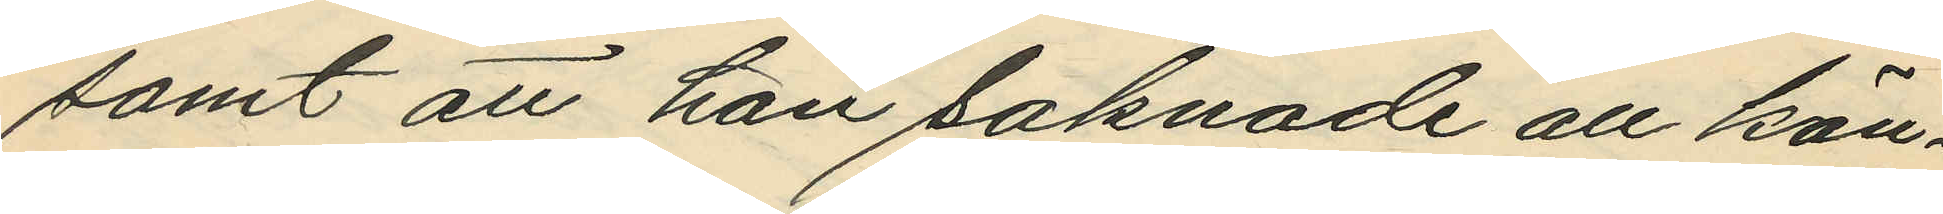samt att han saknade all kän¬
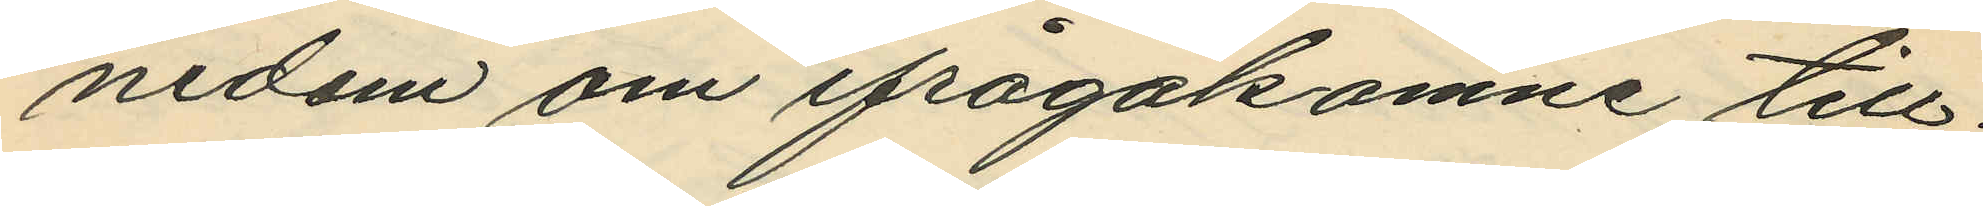nedom om ifrågakomne till¬
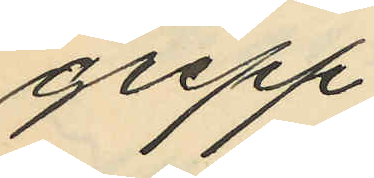grepp.
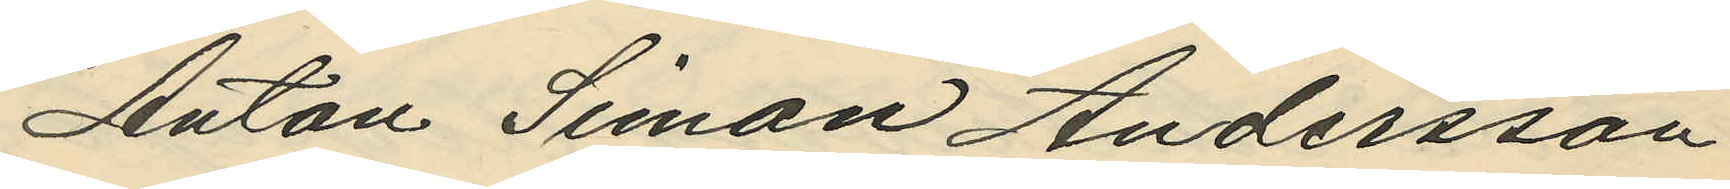Anton Simon Andersson
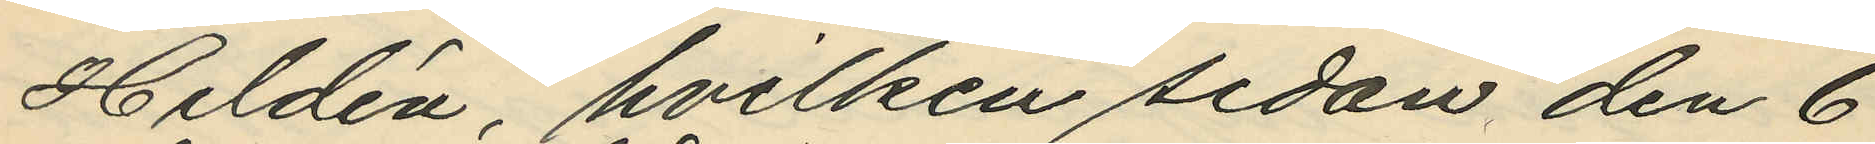Hildén, hvilken sedan den 6
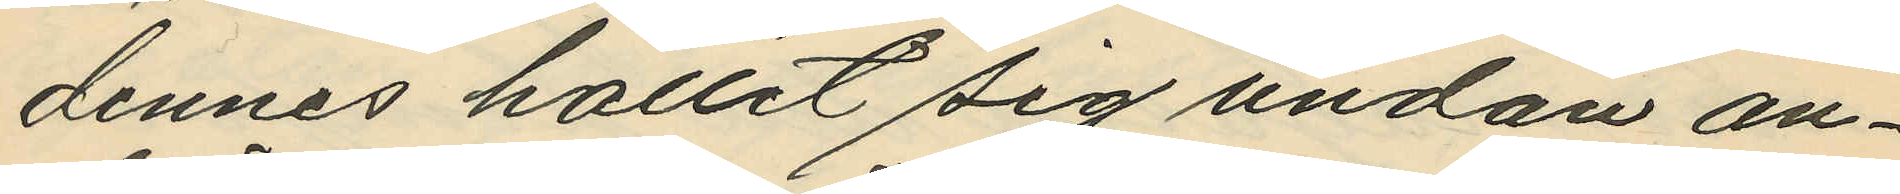dennes hållit sig undan an¬
